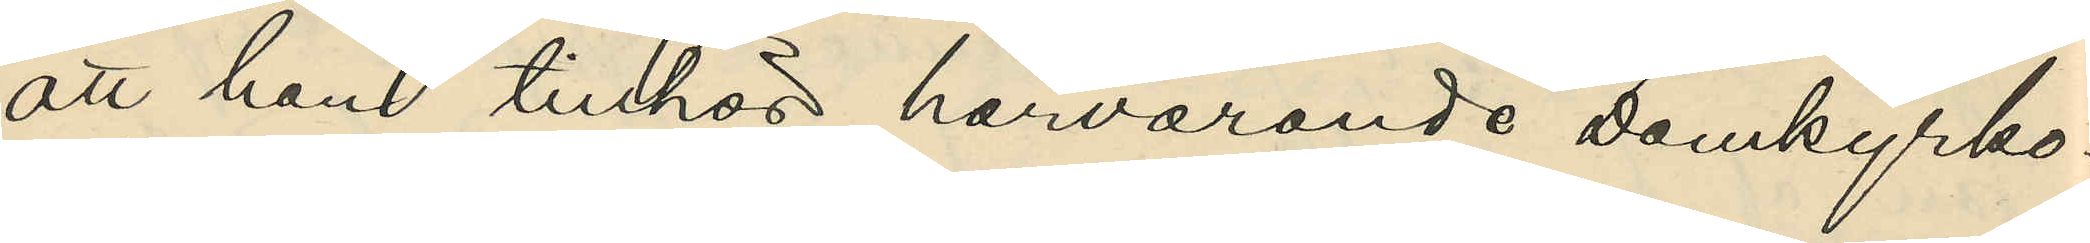att hon tillhör härvarande Domkyrko¬
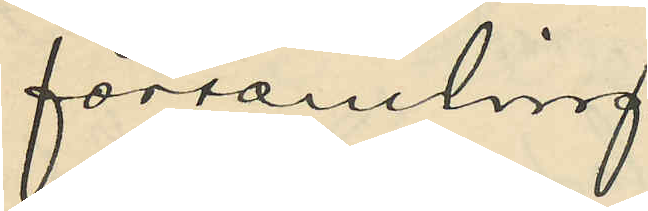församling.
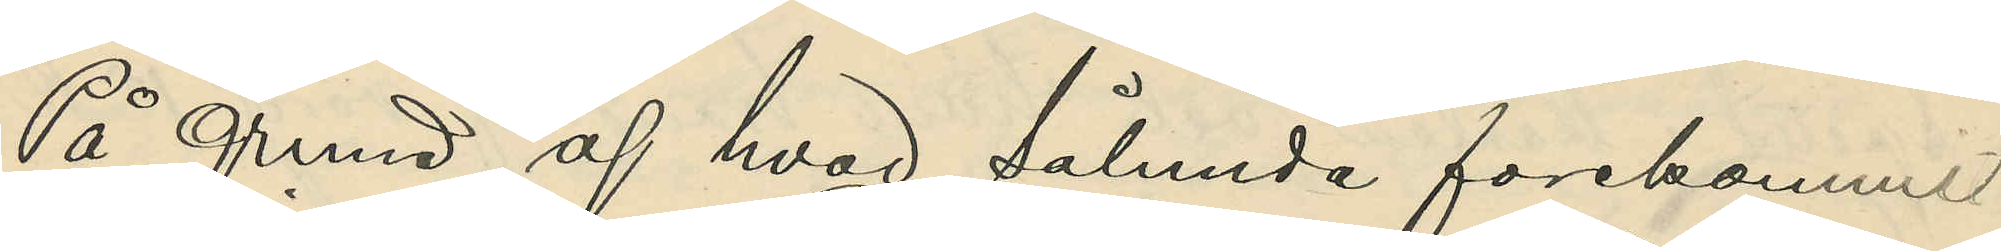På grund af hvad sålunda förekommit
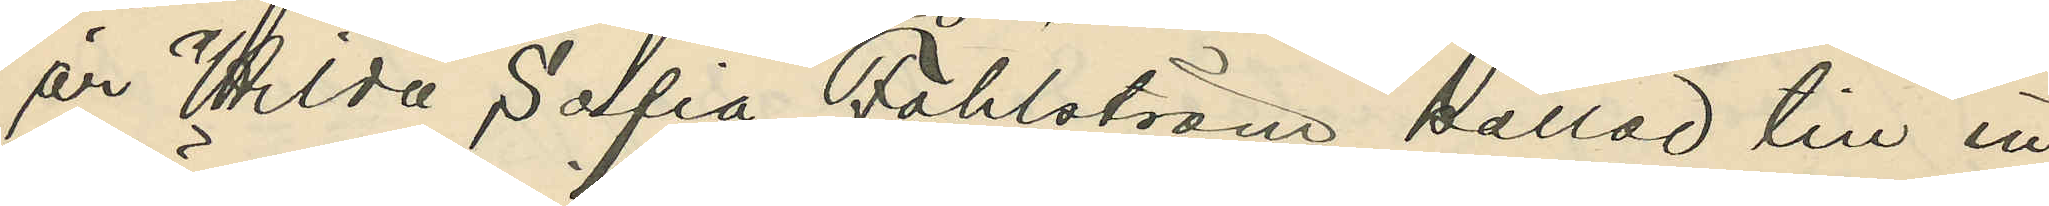är Hilda Sofia Fahlström kallad till in¬
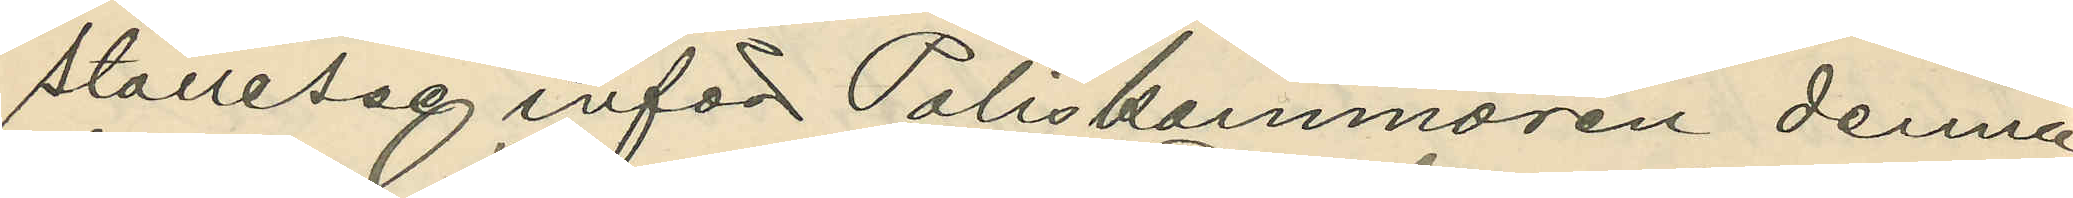ställelse inför Poliskammaren denna
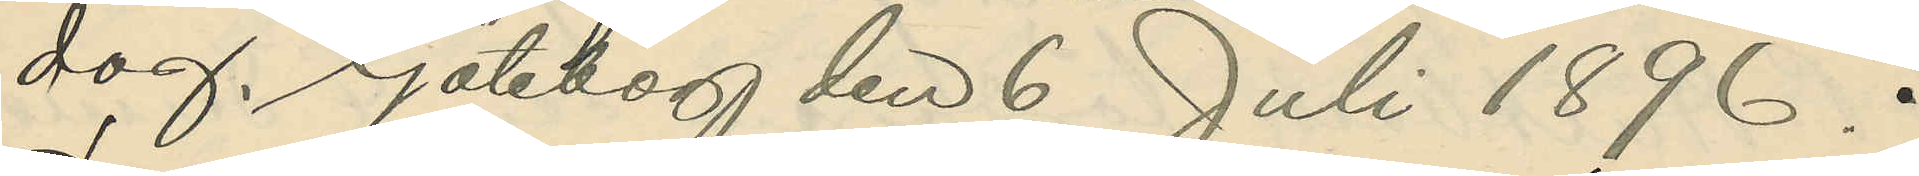dag. Göteborg den 6 Juli 1896.
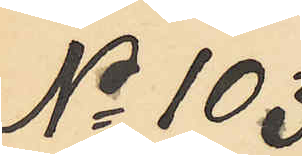No 103
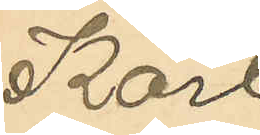Karl
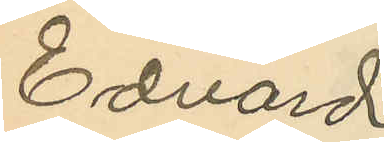Edvard
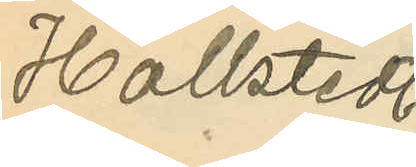Hallstedt
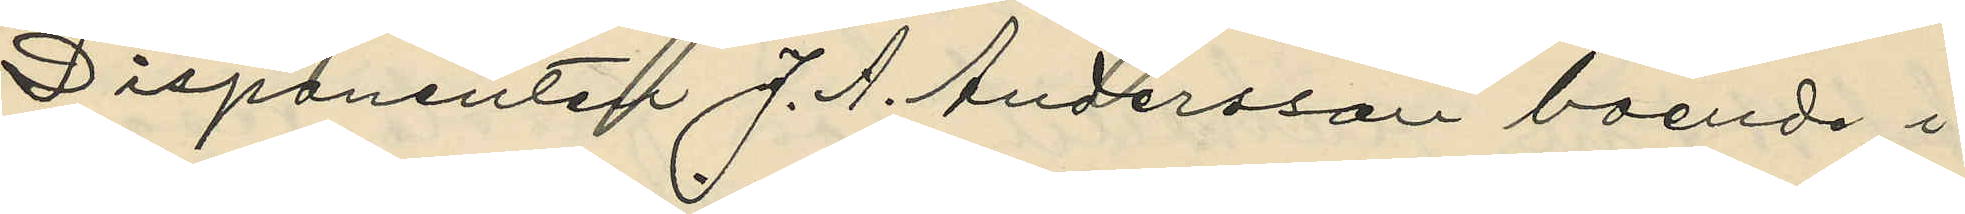Disponenten J. A. Andersson boende i
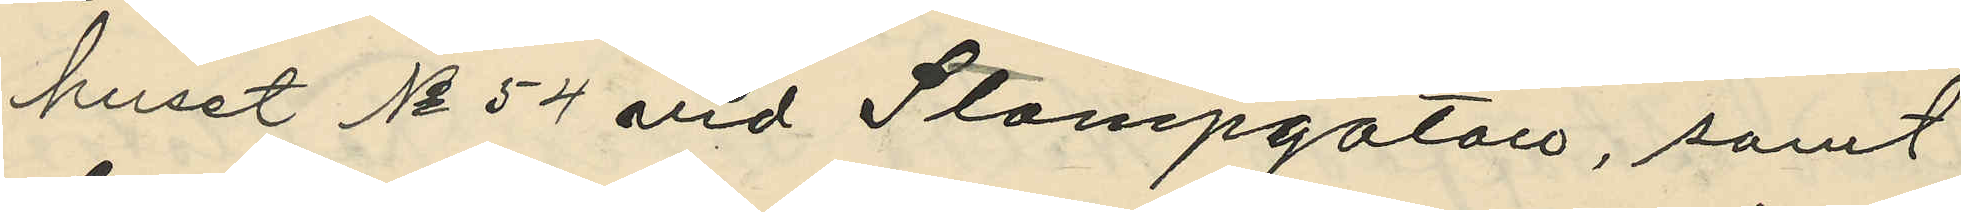huset No 54 vid Stampgatan, samt
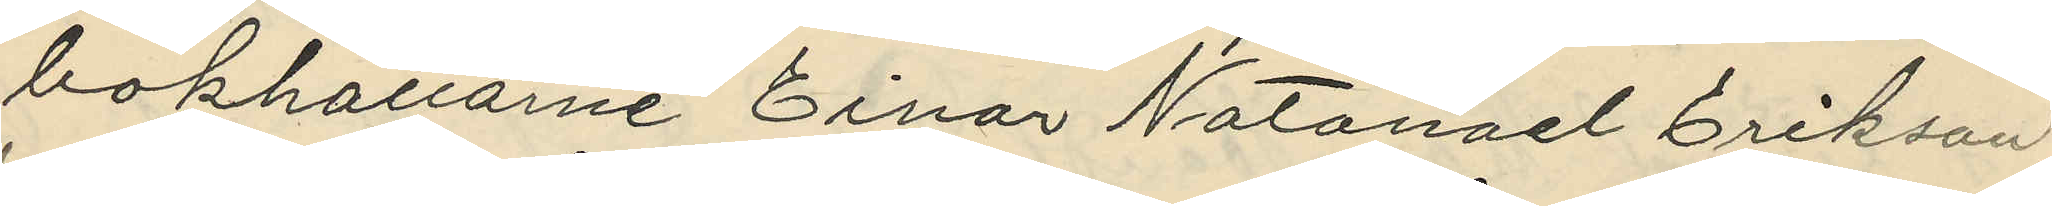bokhållarne Einar Natanael Erikson,
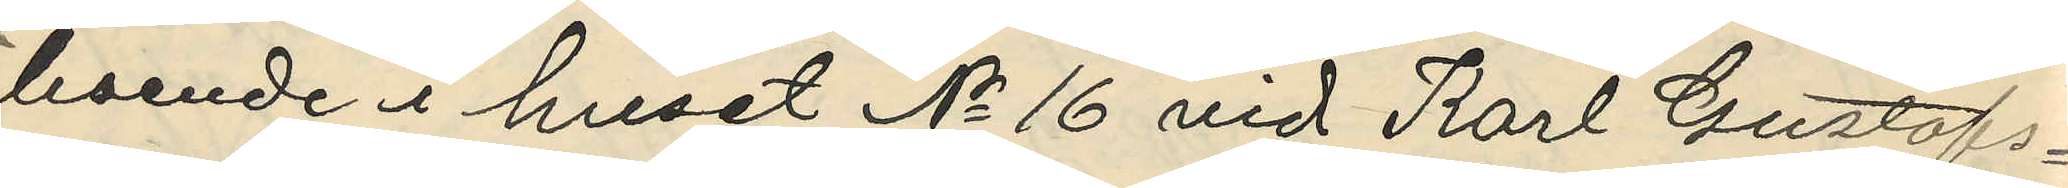boende i huset No 16 vid Karl Gustafs¬
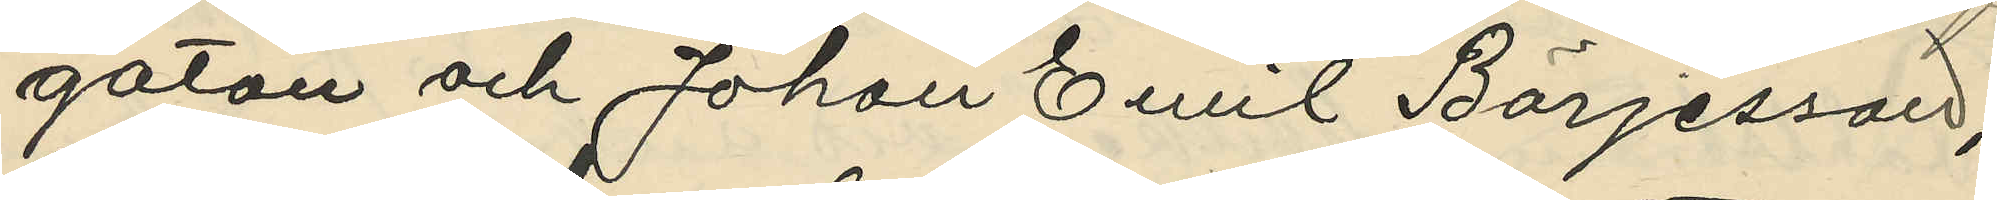gatan och Johan Emil Börjesson,
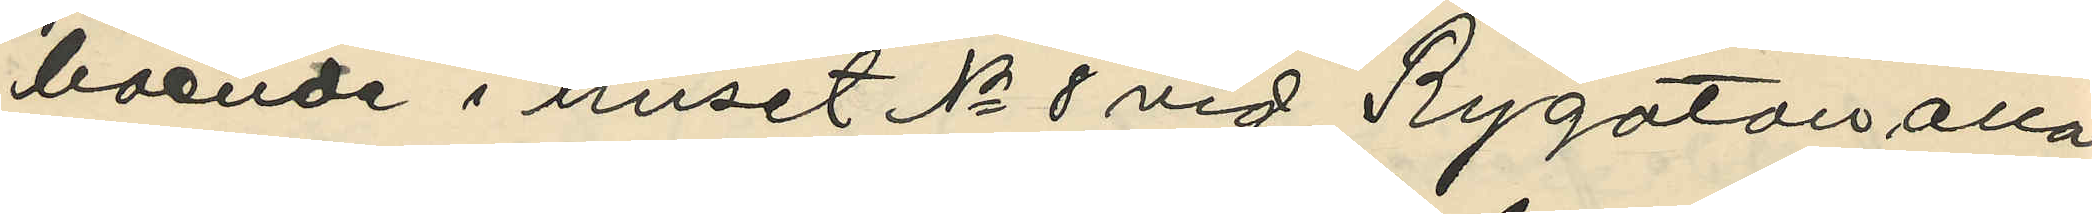boende i huset No 8 vid Rygatan alla
